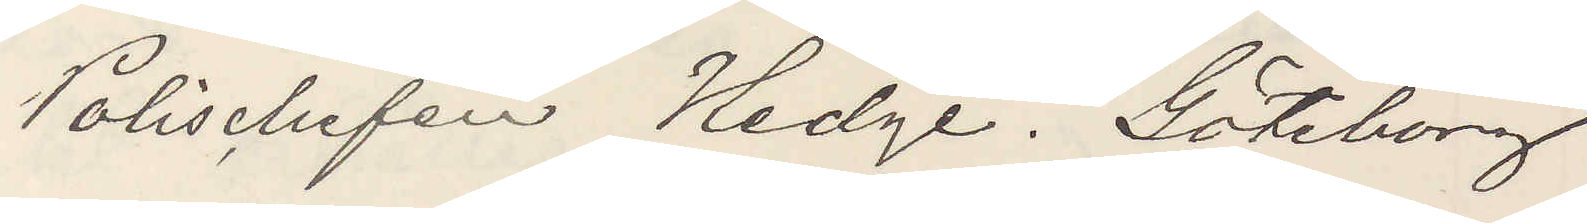Polischefen Hedge. Göteborg
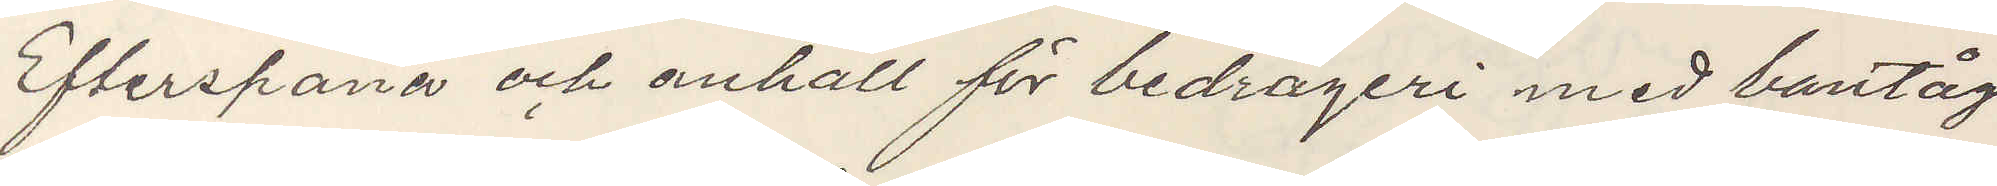Efterspana och anhåll för bedrägeri med bantåg
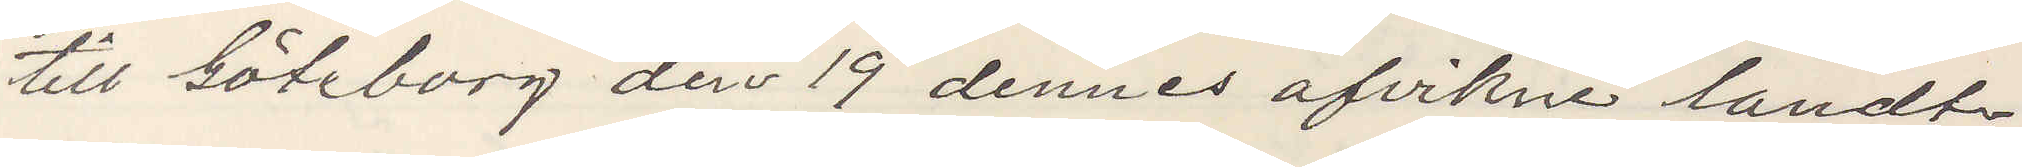till Göteborg den 19 dennes afvikne landt¬
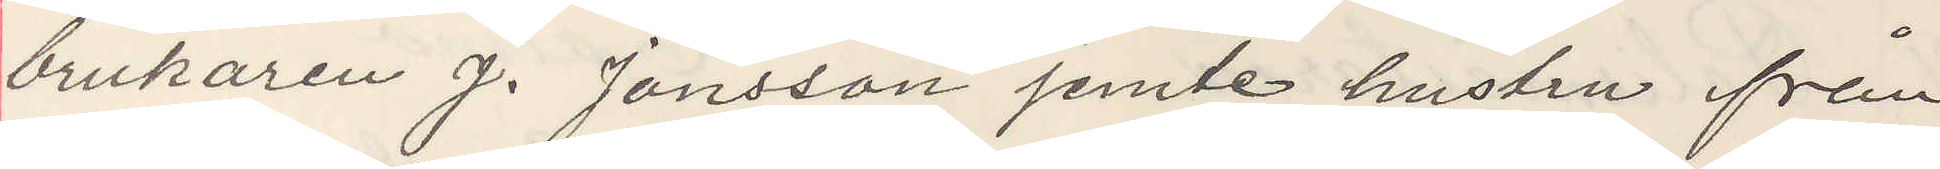brukaren J. Jonsson jemte hustru från
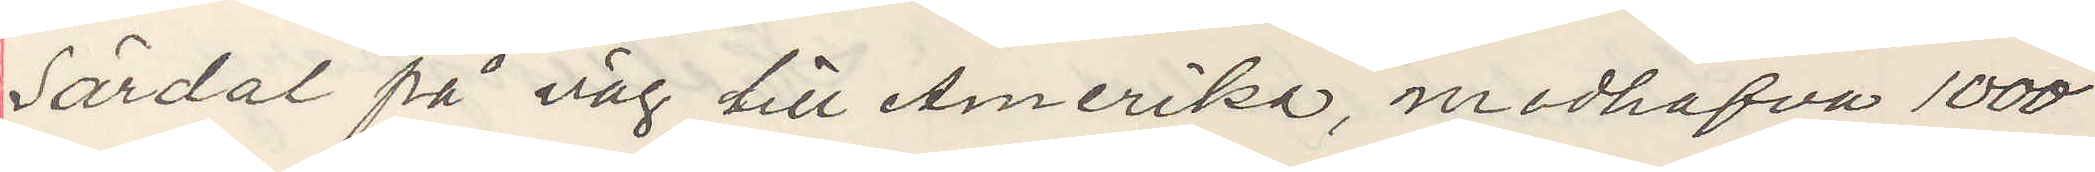Särdal på väg till Amerika, medhafva 1000
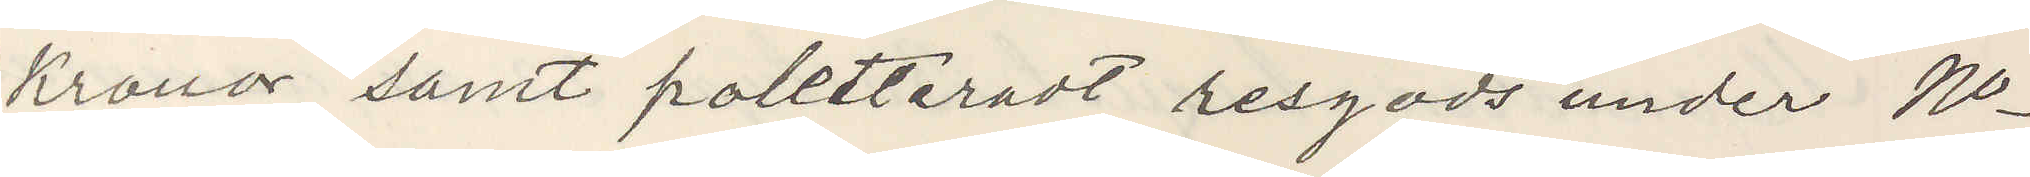Kronor samt poletteradt resgods under No
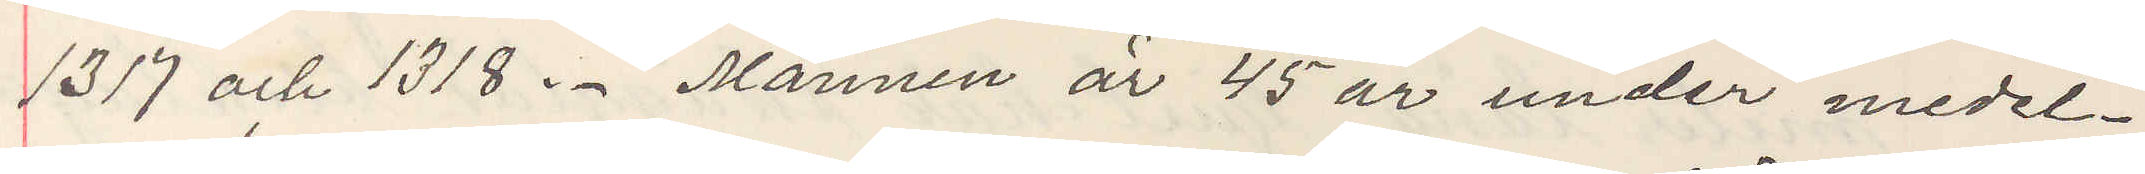1317 och 1318. Mannen är 45 år under medel¬
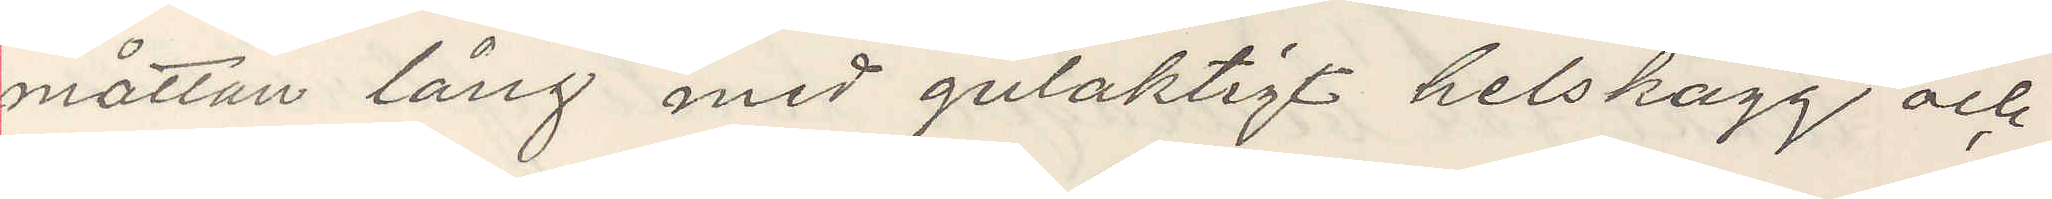måttan lång med gulaktigt helskägg och
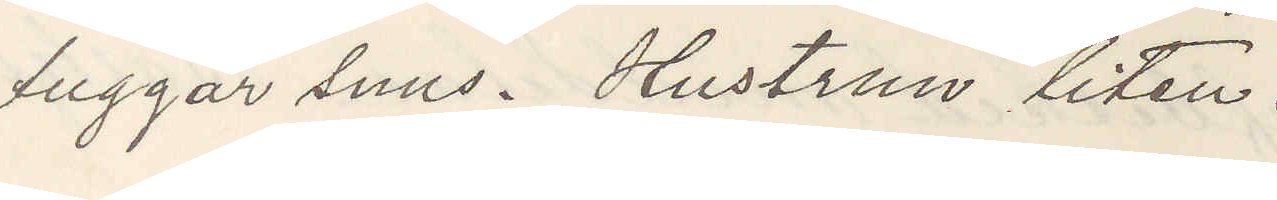tuggar snus. Hustrun liten.
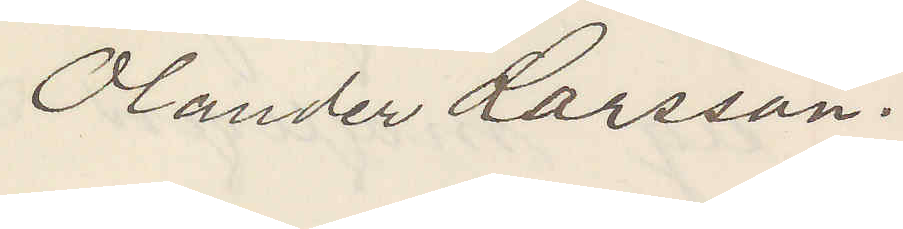Olander Larsson.
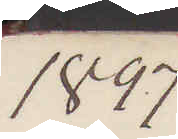1897
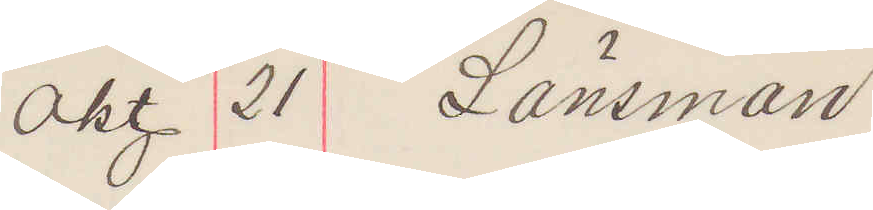OKt 21 Länsman
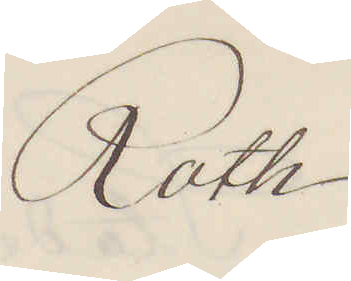Roth
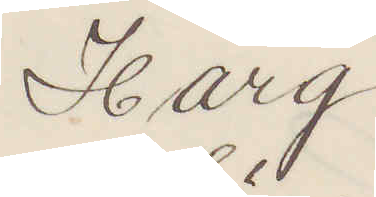Harg
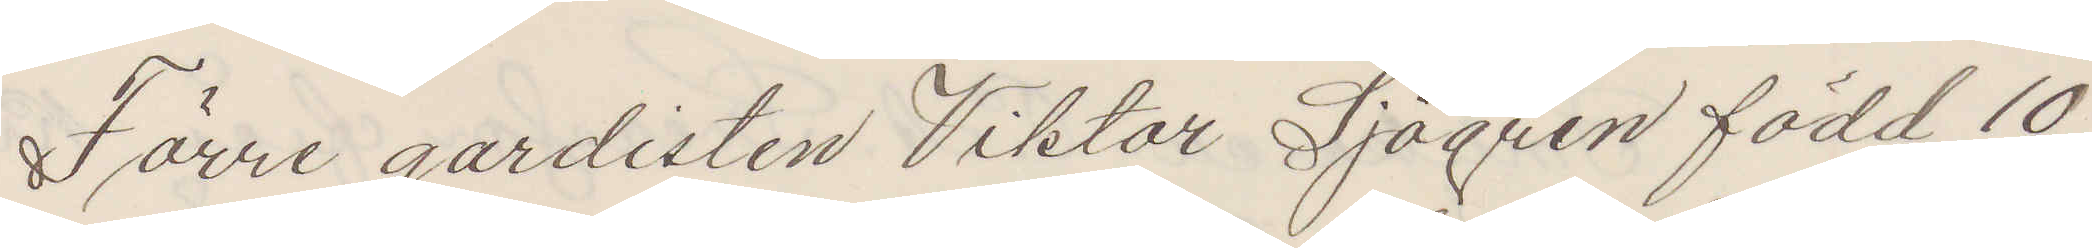Förre gardisten Viktor Sjögren född 10
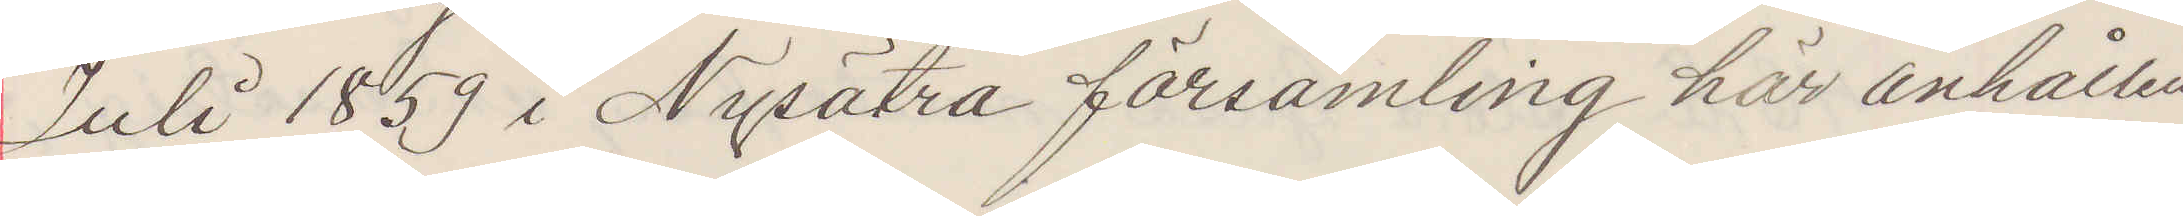Juli 1859 i Nysätra församling här anhållen
